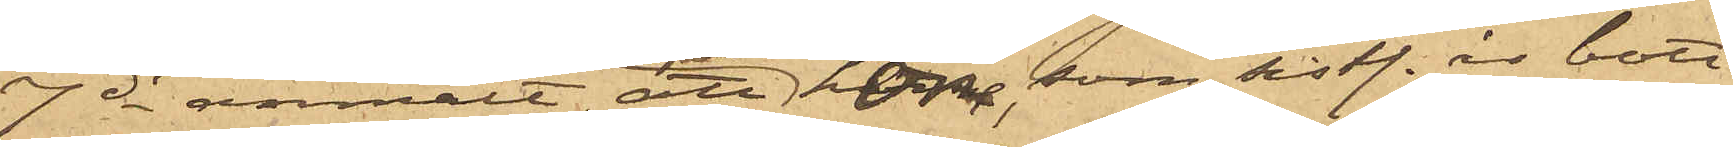7 ds anmält, att hon, som sist. år bott
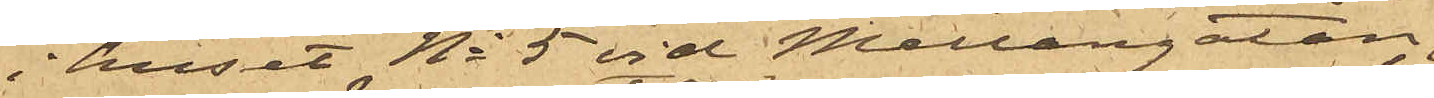i huset No 5 vid Mellangatan,
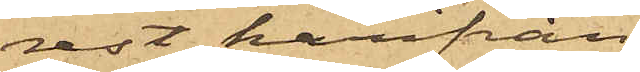rest härifrån
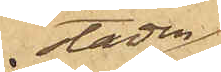staden
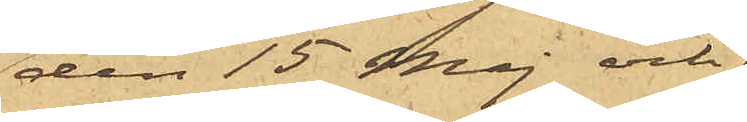den 15 Maj och
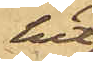hit
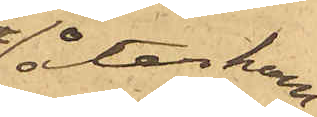återkom¬
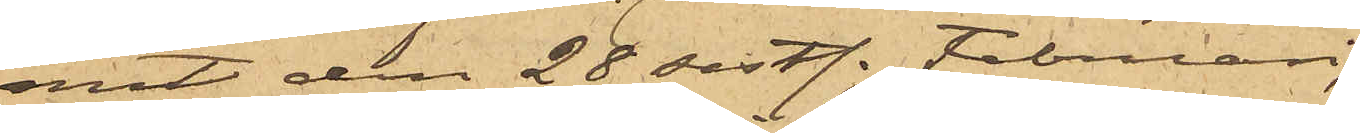mit den 28 sist. Februari
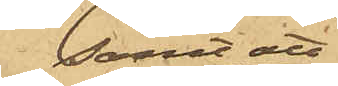samt att
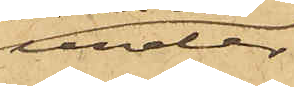under
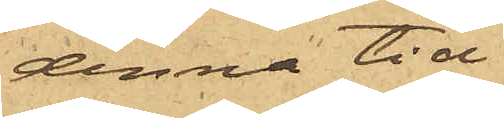denna tid
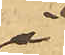i
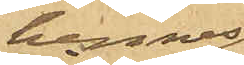hennes
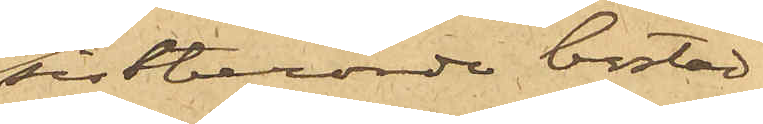sistberörde bostad,
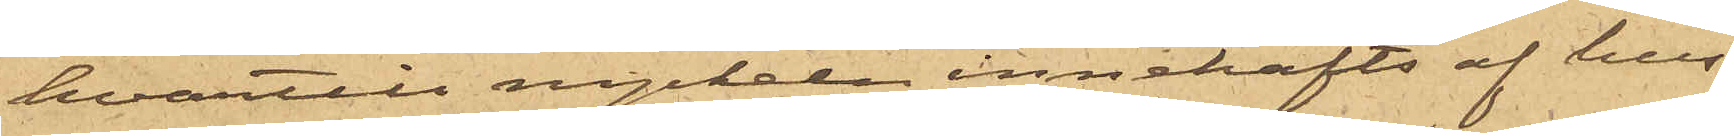hvartill nyckeln innehafts af hus¬
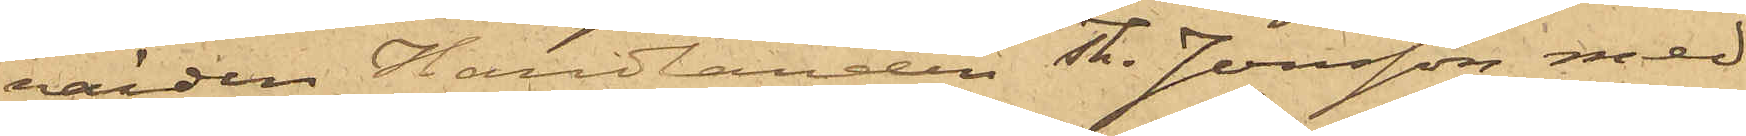värden Handlanden Th. Jonsson med
